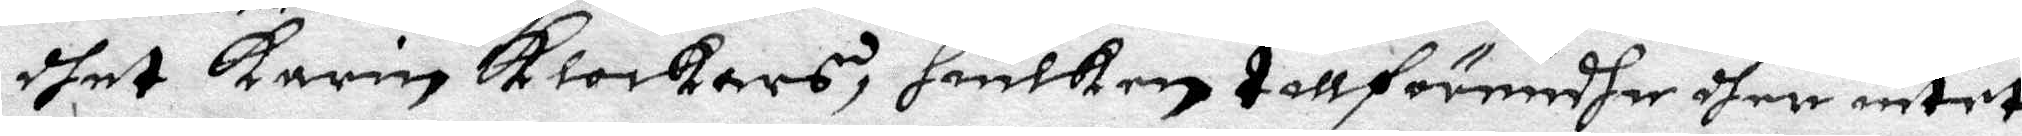dhet Karin Klockars, huilken tillförendhe dher intet
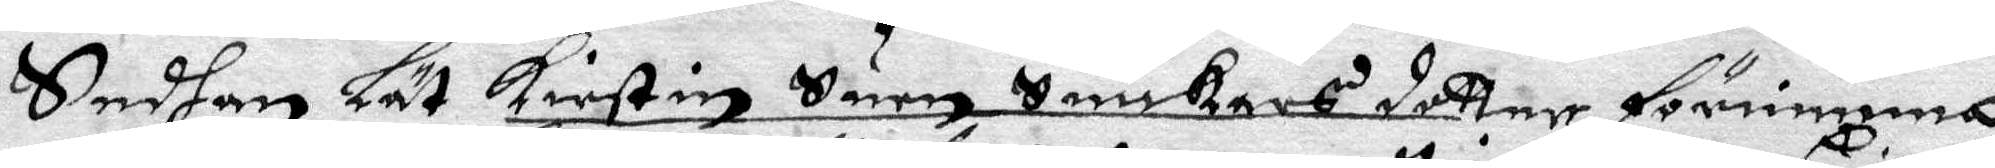Sedhan Lät Kirstin Suen Snickars dotter förnimma
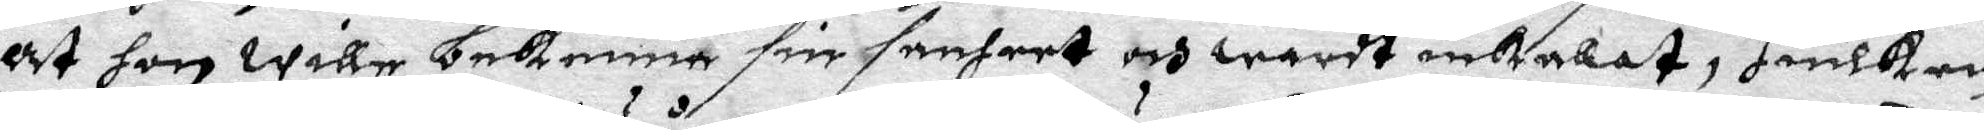At hon wille bekenna sin sanheet och wardt inkalat, Huilken
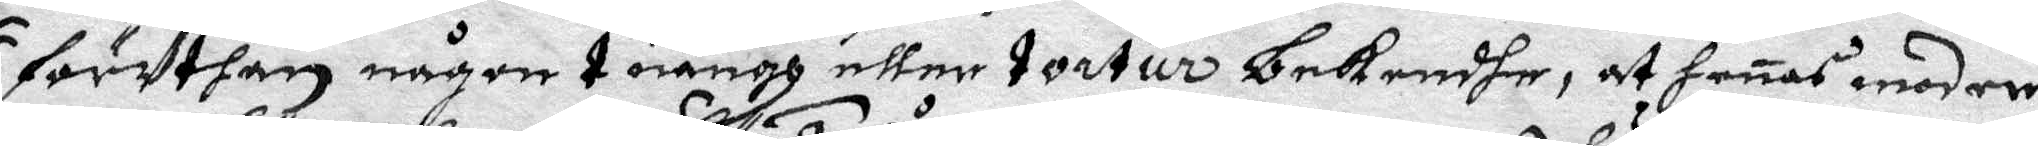förUthan någon tuång eller tortur bekendhe, at henes moder
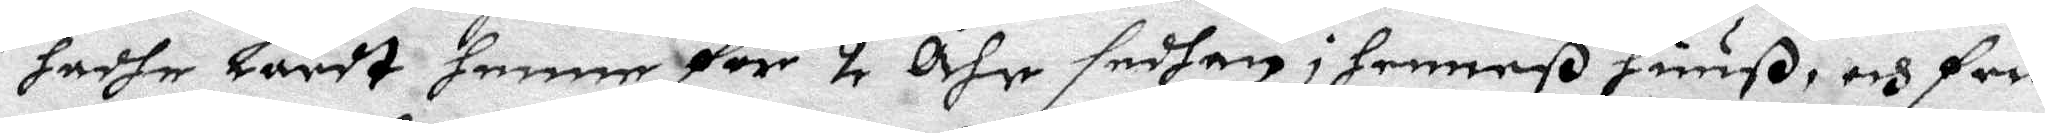hadhe Lärdt henne förr 2 åhr sedhan i henneß huuß, och feck
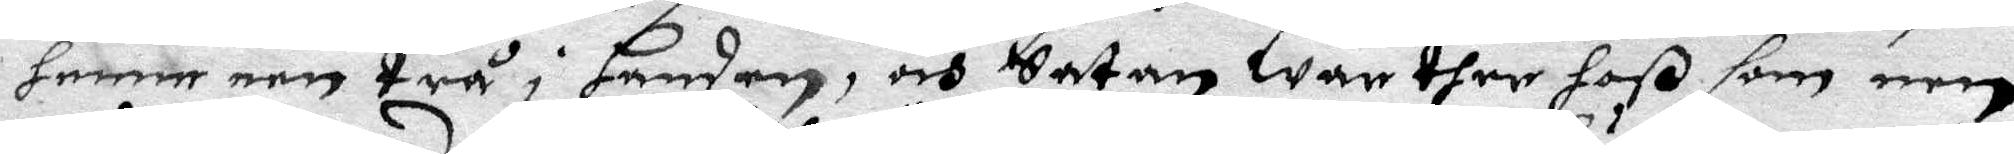henne een trå i handen, och Satan war sher hoß som een
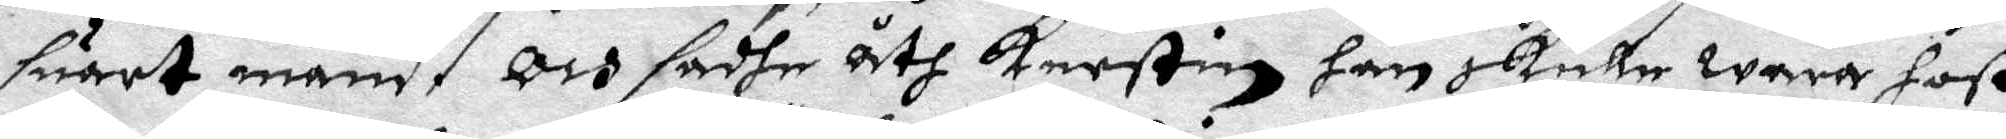suart mand, Och sadhe åth Kerstin han skulle wara hoß
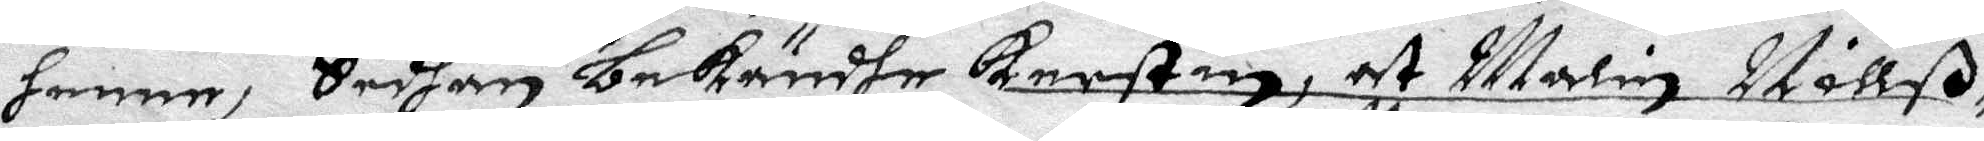henne, Sedhan bekändhe Kerstin, at Malin Råttß
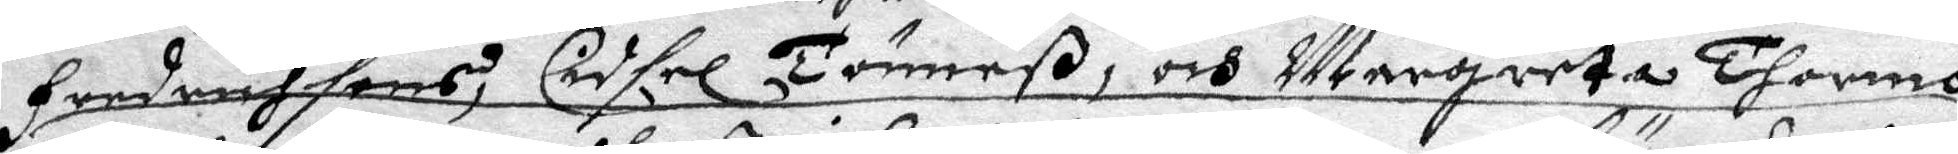Fredrichsons, Cidsel Tömmeß, och Margareta Thormo
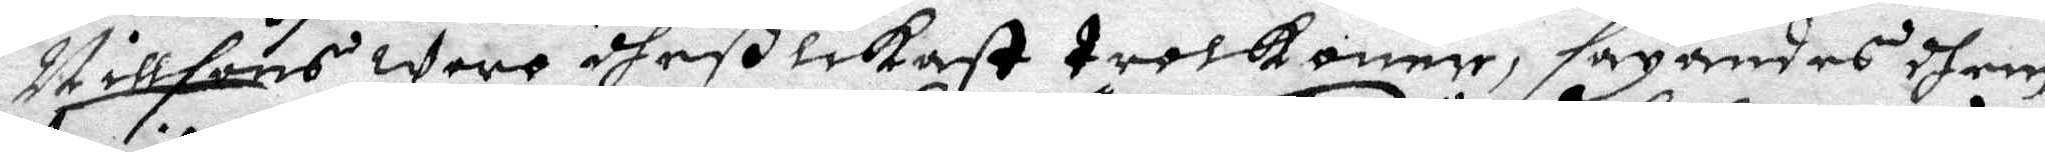Nillsons wore dheß likest trolkonor, säyandes dhem
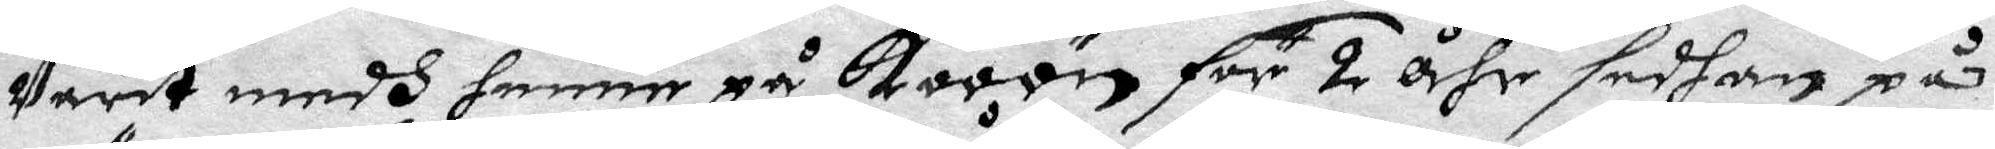Varit medh henne på Kooön för 2 åhr sedhan på
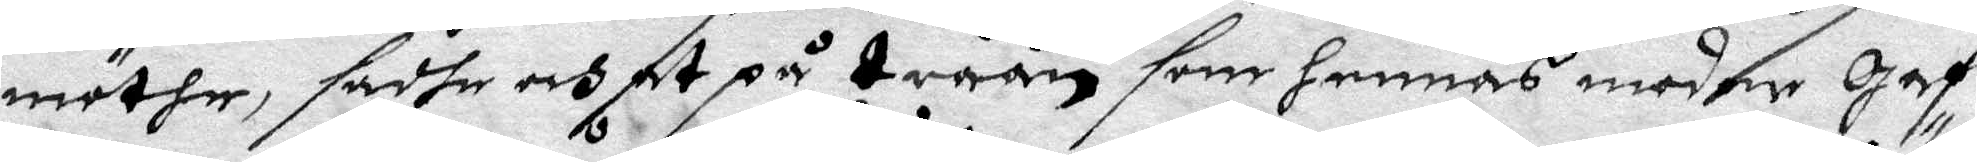möthe, sadhe och at på Tråån som hennes modher Haf
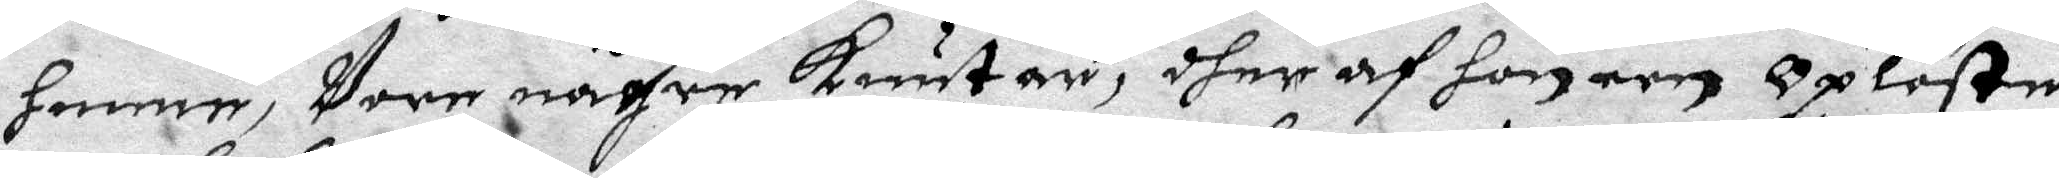henne, Vore någre Knutar, dher af hon een Oplöste,
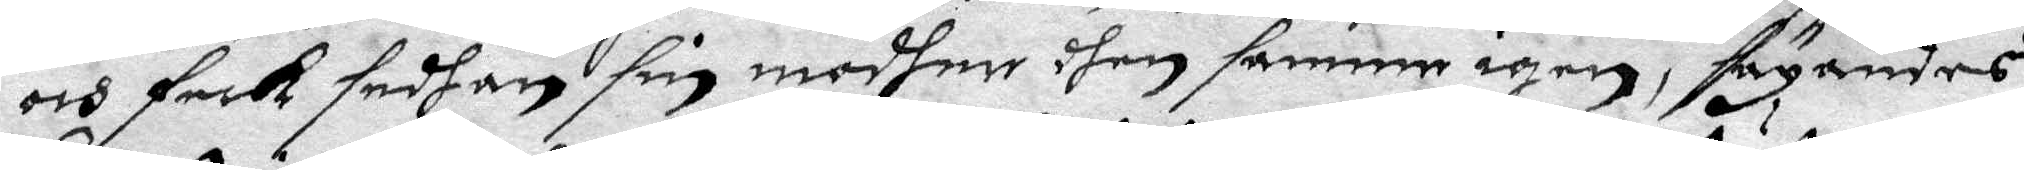och feck sedhan sin modher dhen samme igen, flygandes
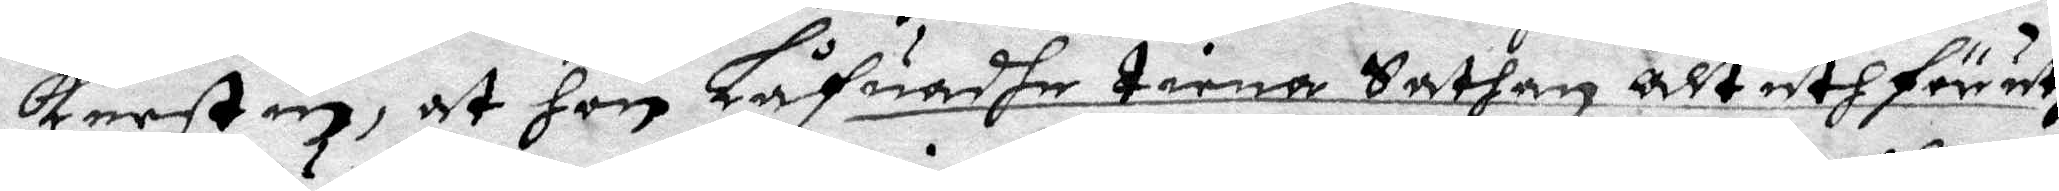Kerstin, at hon Låfuadhe tiena Sathan alt uthför uthi
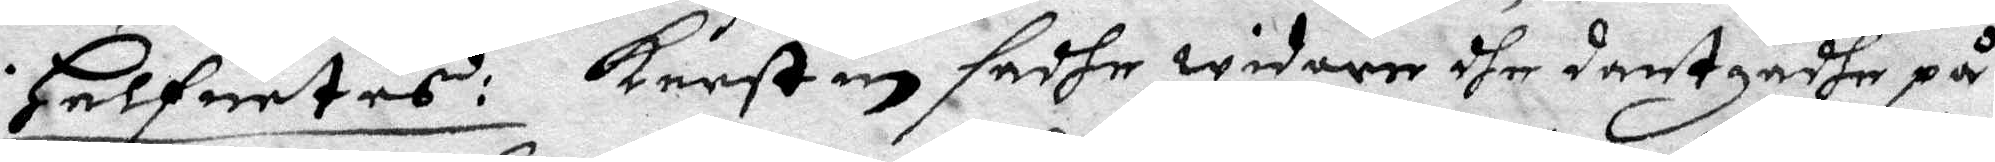i Helfuetes: Kerstin sadhe widare dhe dantzadhe på
